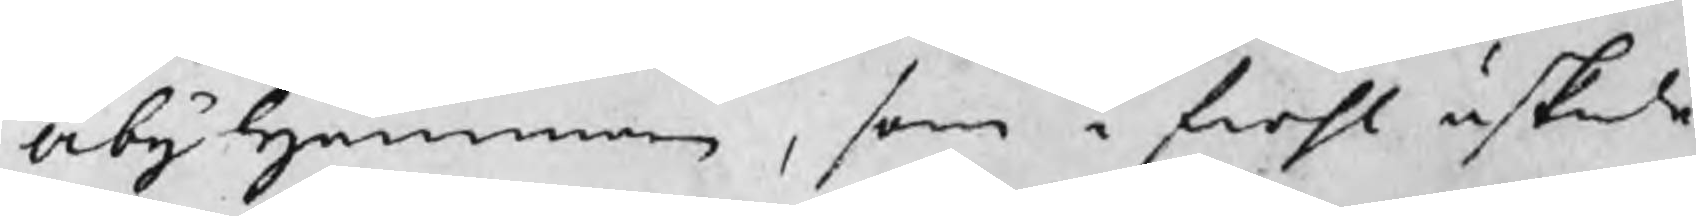Åby Hammarn, som i fiohl äskade
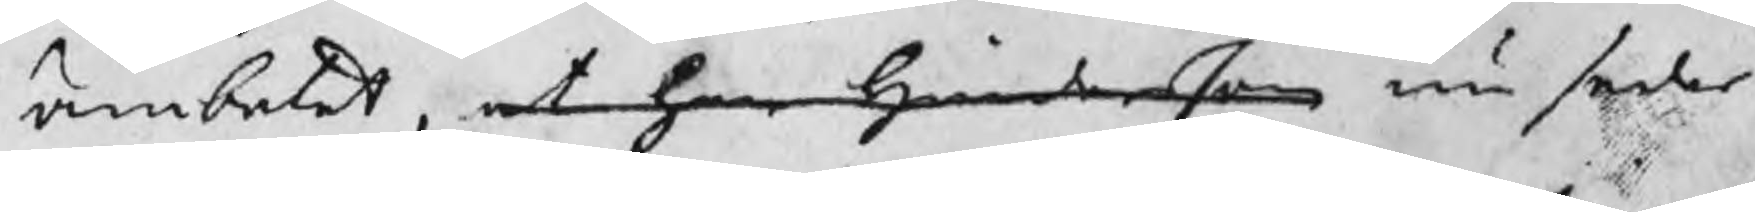ämbetet, at han Hindersson nu seder¬
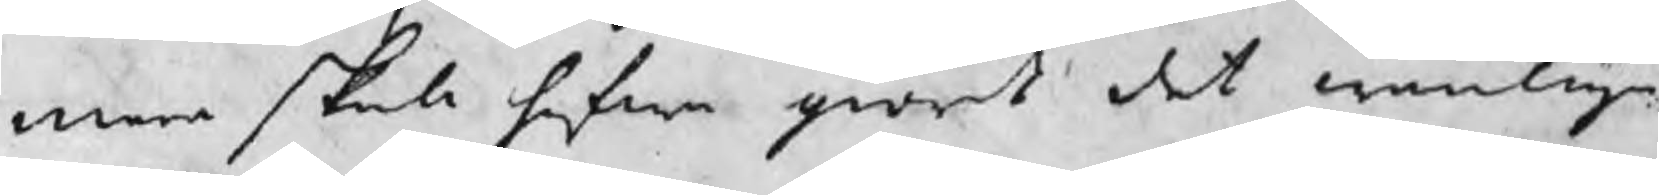mera skola hafwa giort det wanliga
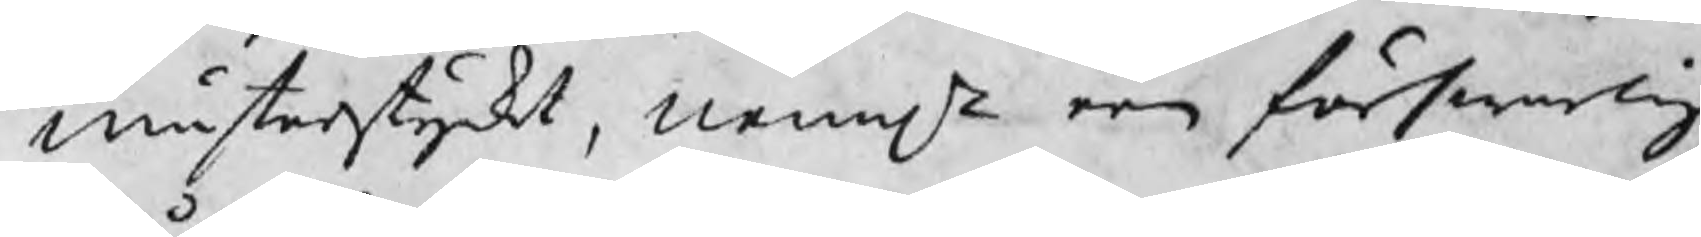mästerstycket, nemln een förswarlig
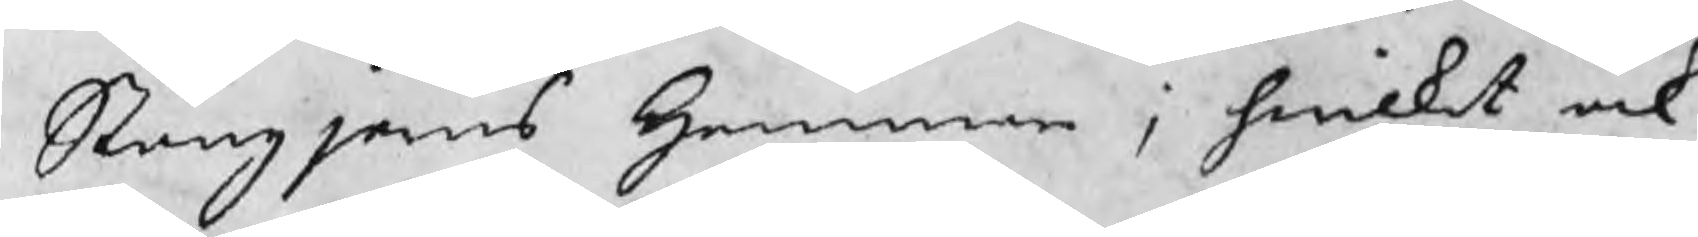Stångjerns Hammare; hwilket ock
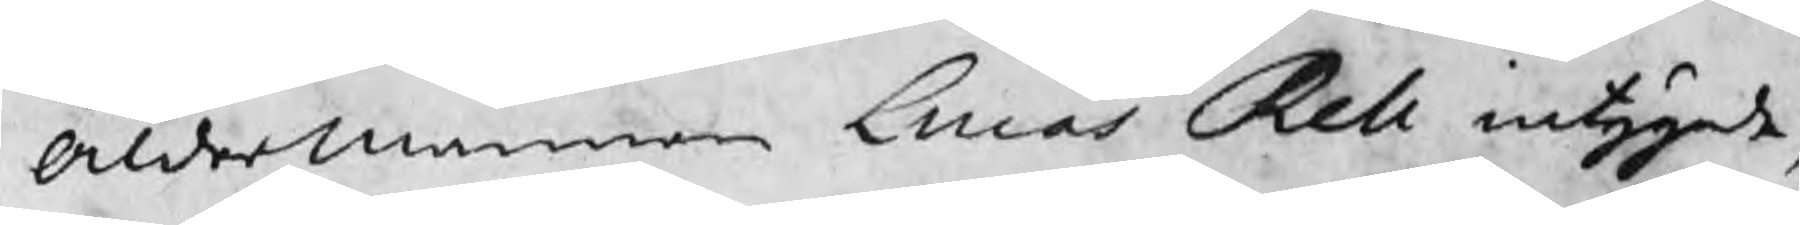Åldermannen Lucas Rell intygade,
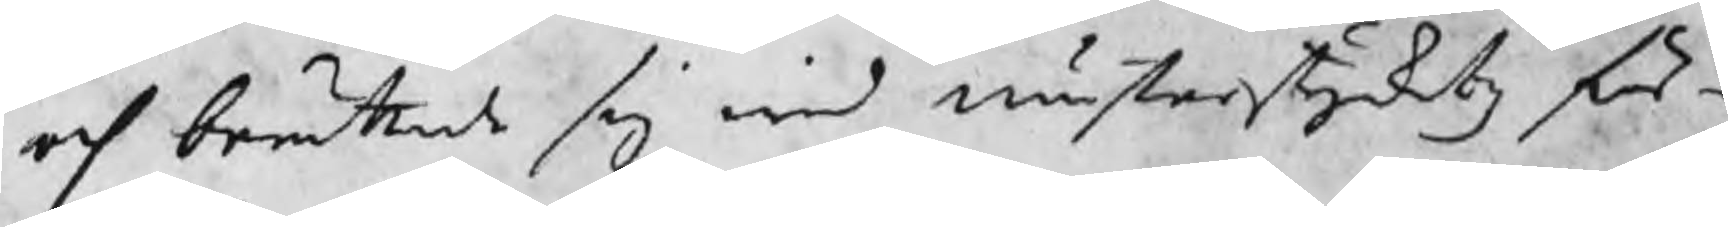och berättade sig wid mästerstycketz för¬
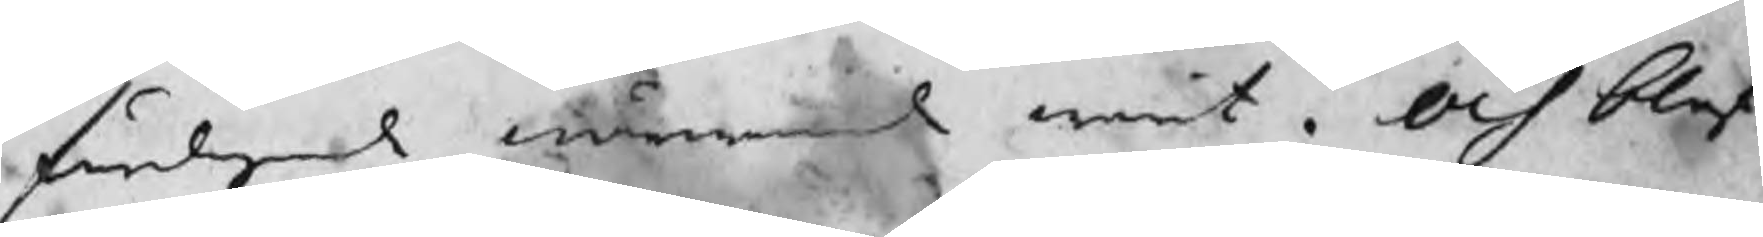färdigande närwarande warit. Och blef
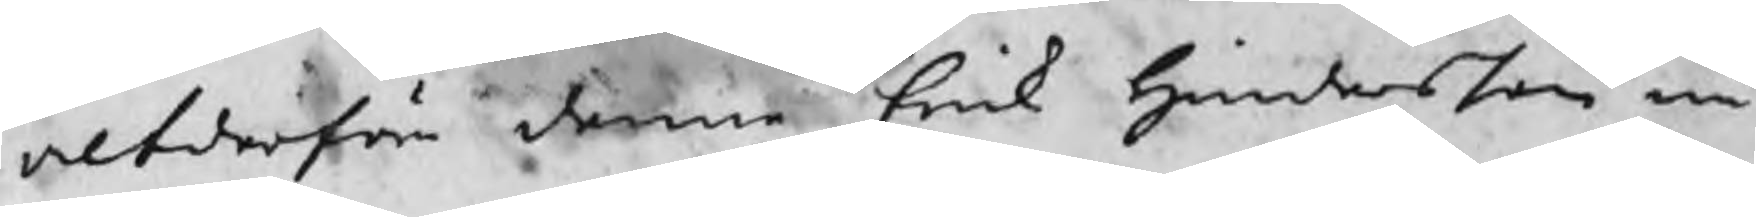altderföre denne Erik Hindersson nu
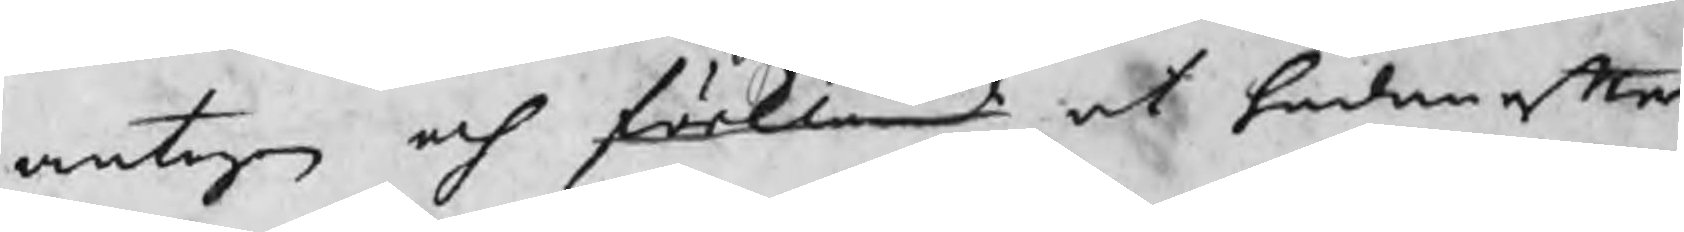antagen och ¬ at hädan efter
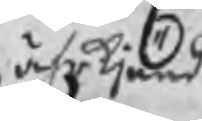ährkjänd
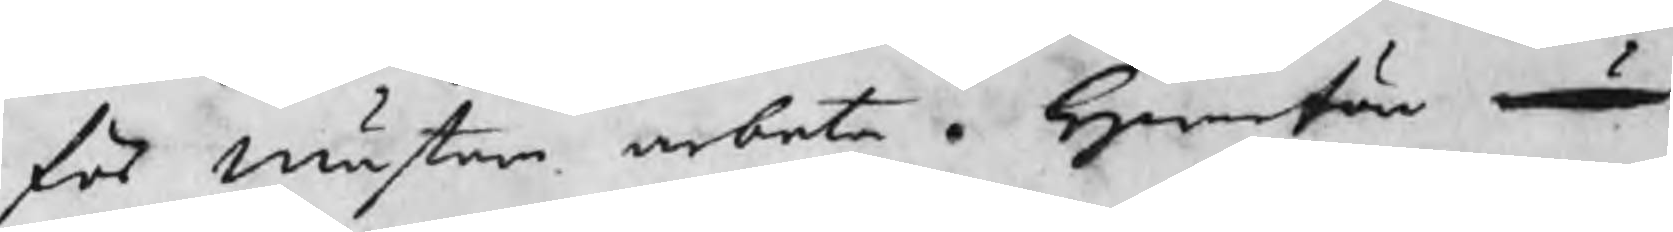för mästare arbeta. Hwarföre nu
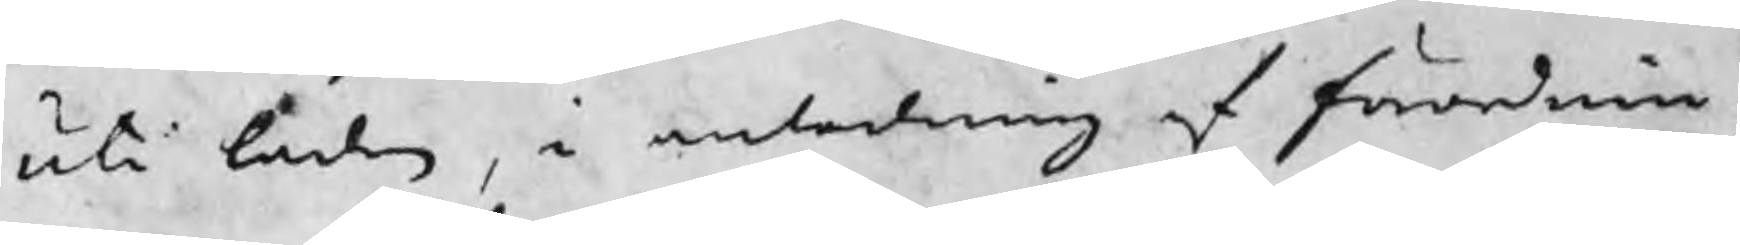uti låden, i anledning af förordnin¬
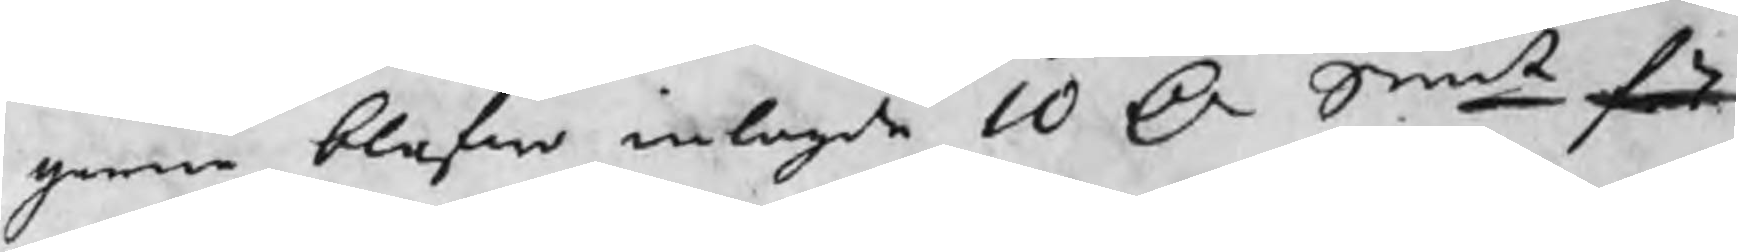garne blefwo inlagde 10 Dr Smt för
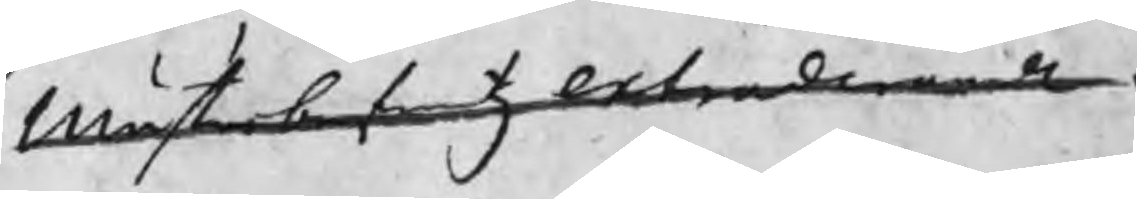mästerbrefwetz extraderande.
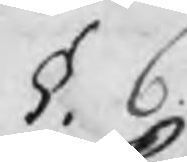§. 6
